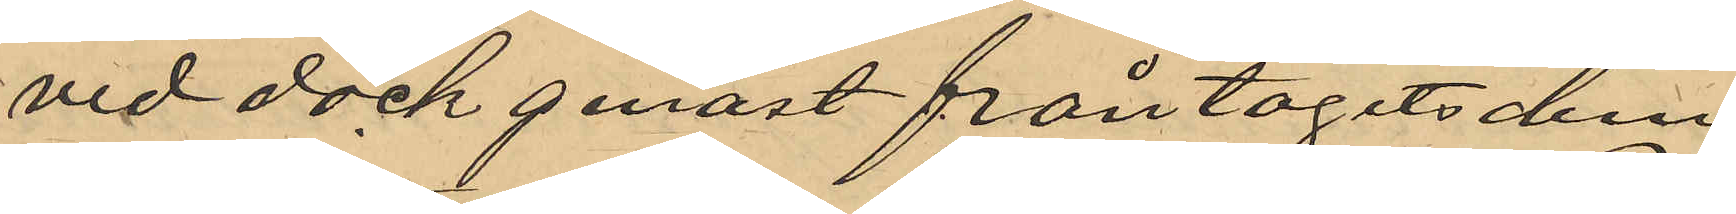ved dock genast fråntagits dem.
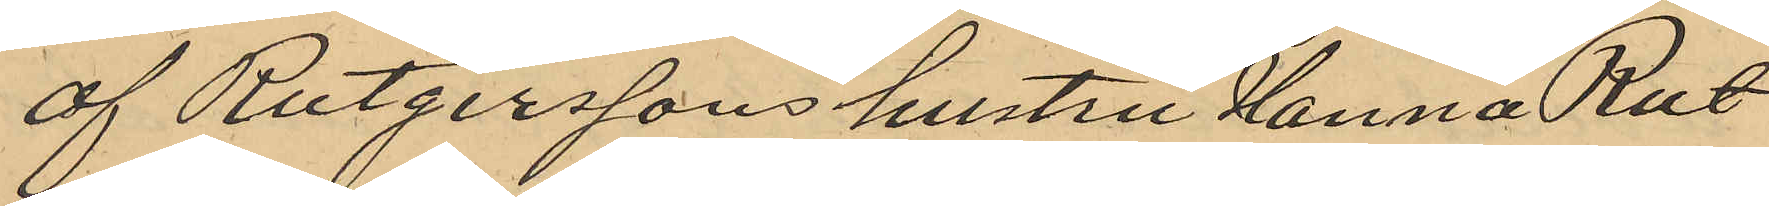af Rutgerssons hustru Hanna Rut¬
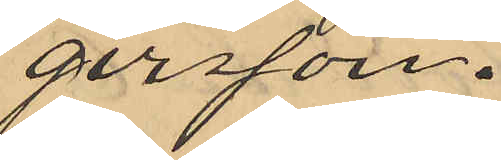gersson.
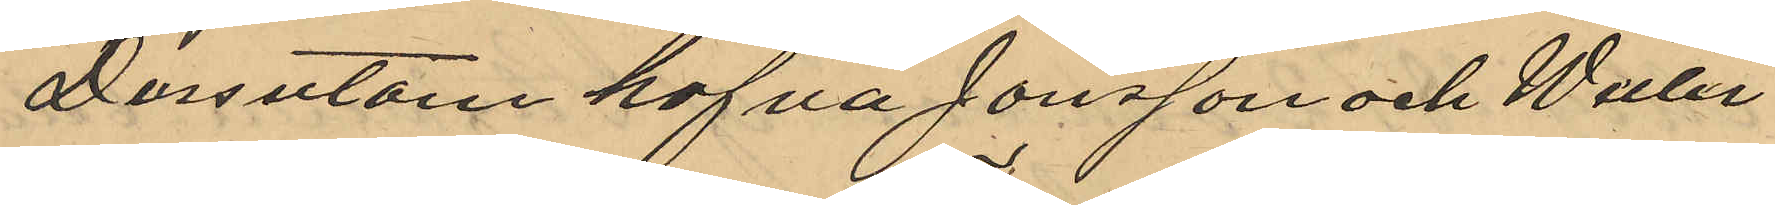Dessutom hafva Jonsson och Wetter¬
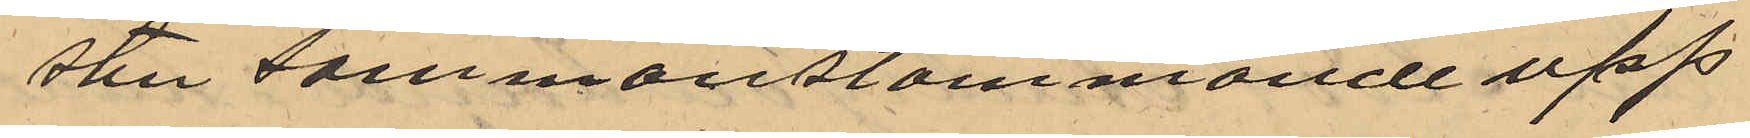sten sammanstämmande upp¬
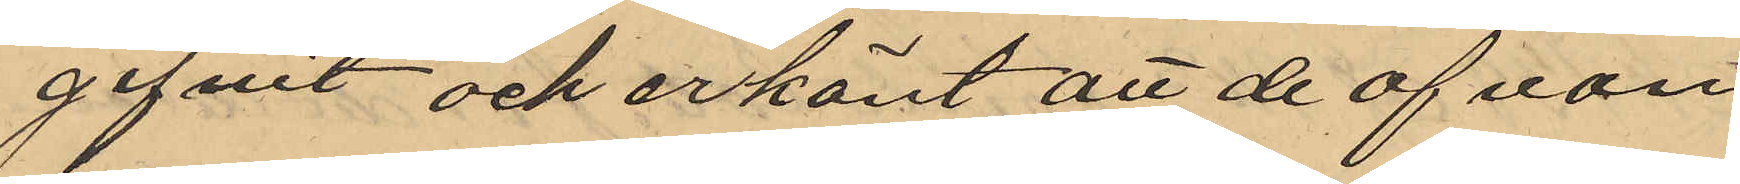gifvit och erkänt att de ofvan
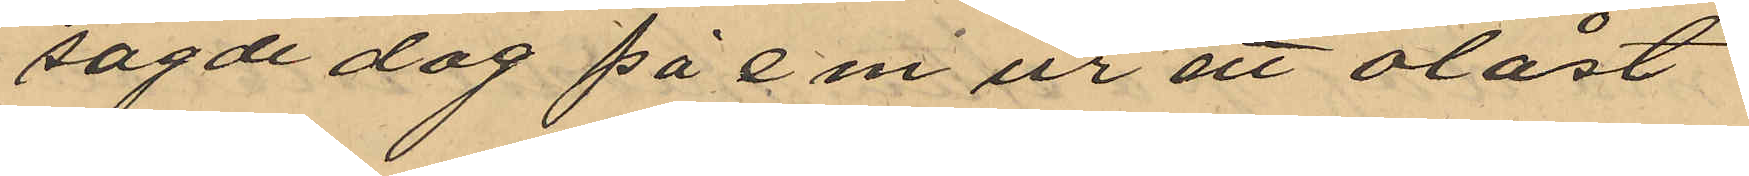sagde dag på e.m ur ett olåst
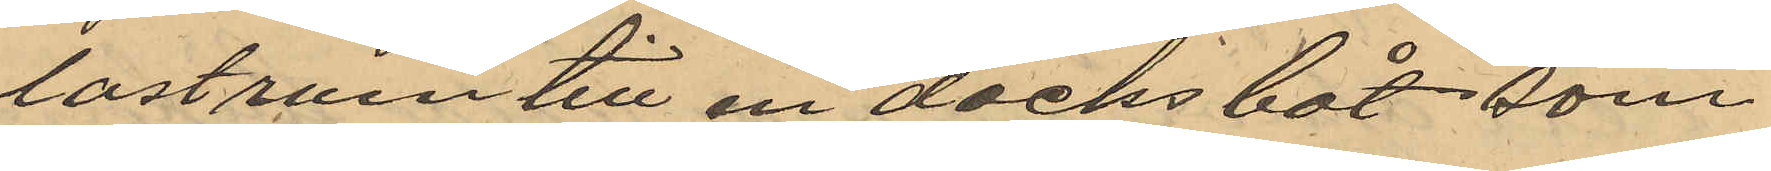lastrum till en däcksbåt, som
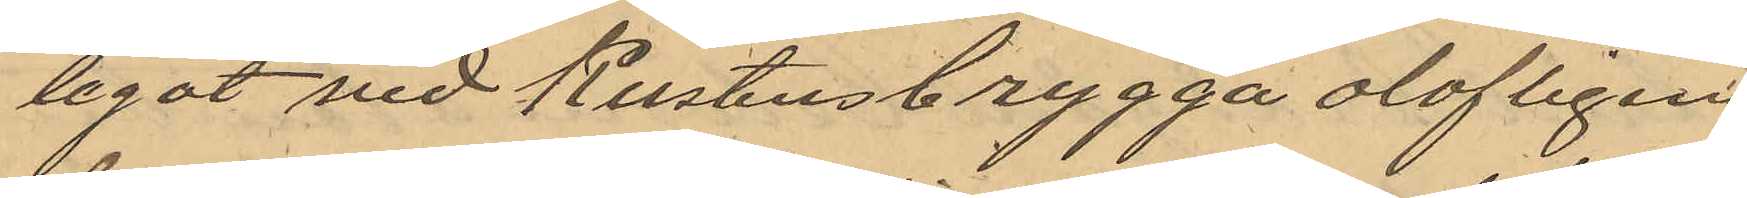legat vid Kustens brygga olofligen
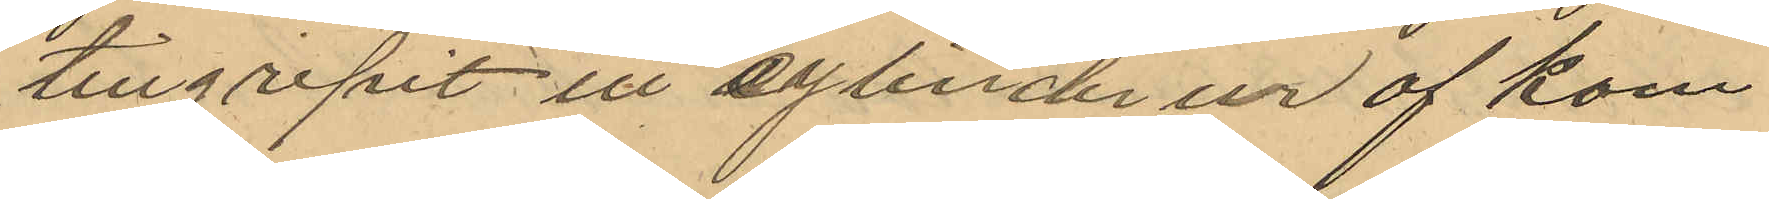tillgripit ett cylinderur af kom¬
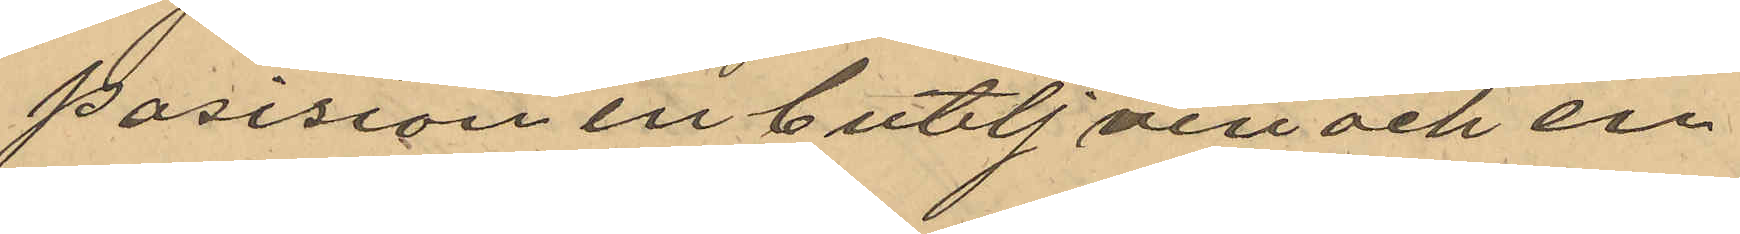posision en butelj vin och en
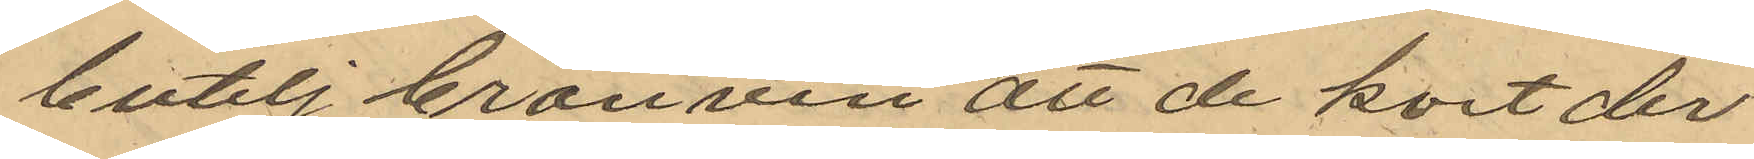butelj bränvin att de kort der
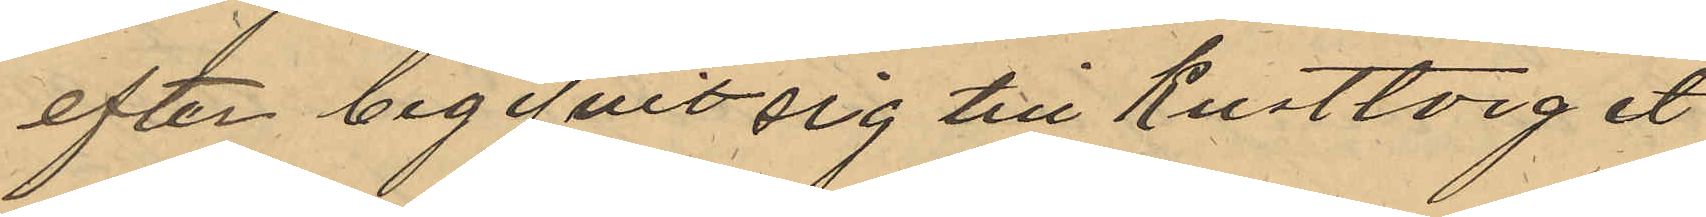efter begifvit sig till Kusttorget
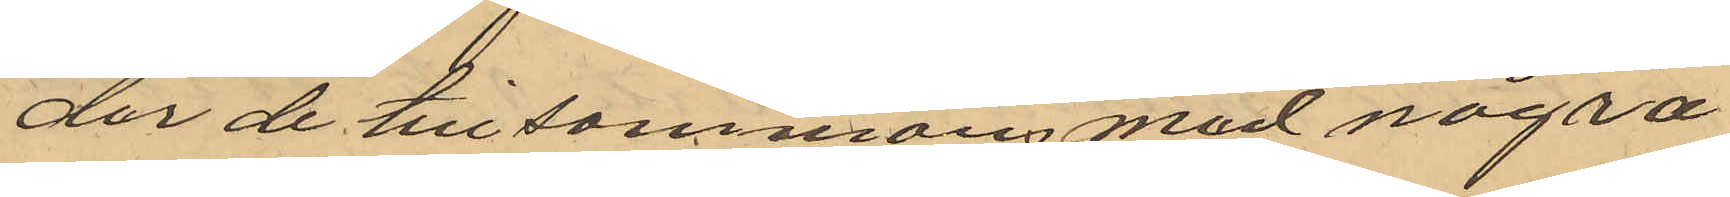der de tillsammansmed några
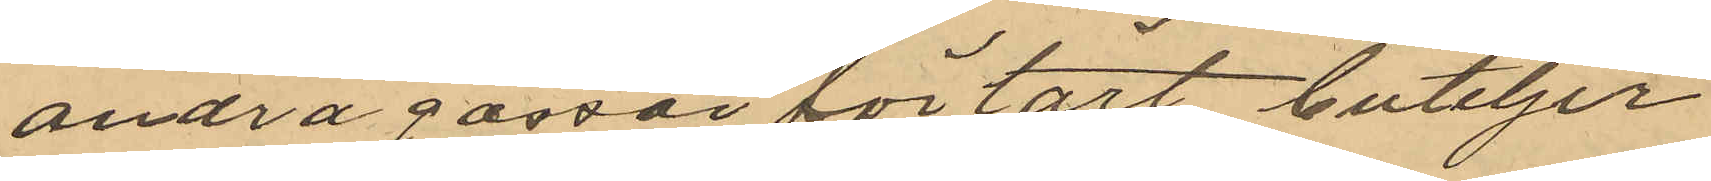andra gossar förtärt buteljer
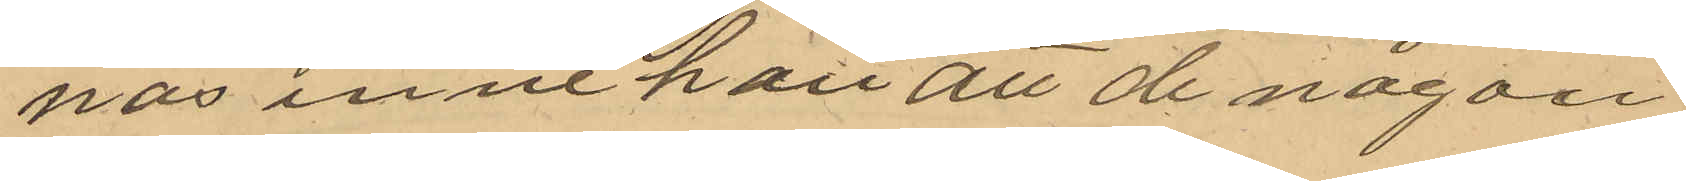nas innehåll att de någon
